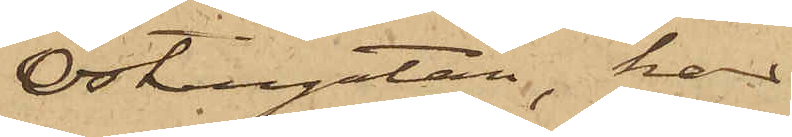Östergatan, har
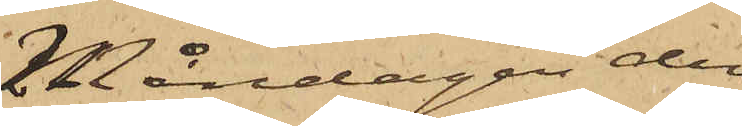Måndagen den
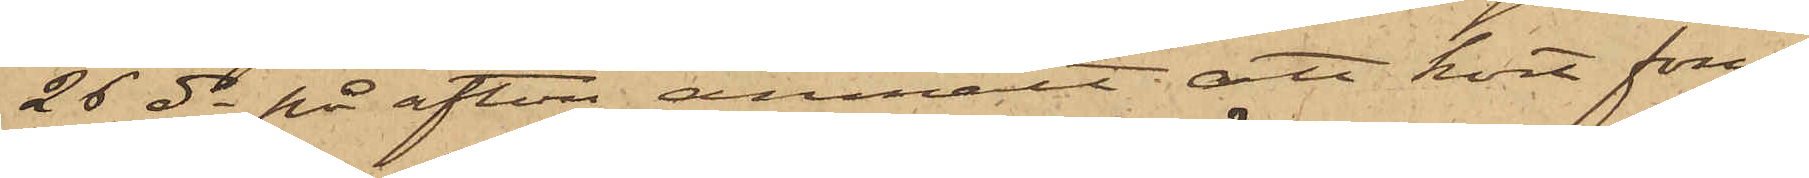26 ds på afton anmält att kort förut
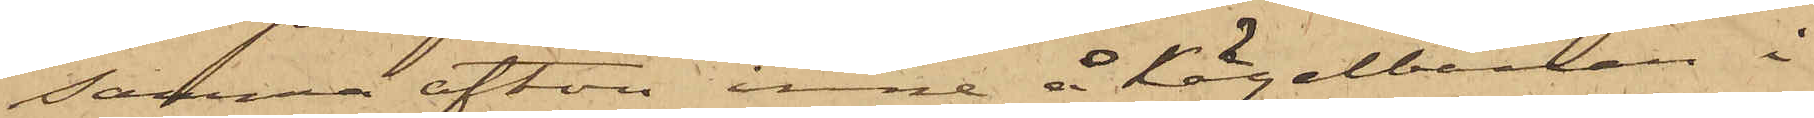samma afton inne å Kägelbanan i
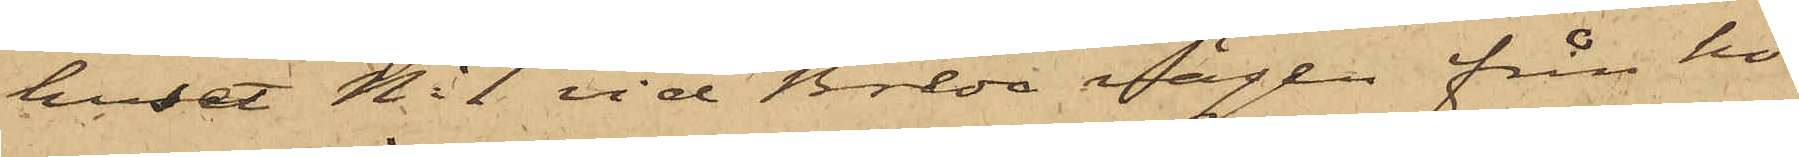huset No 1 vid Breda vägen från ho¬
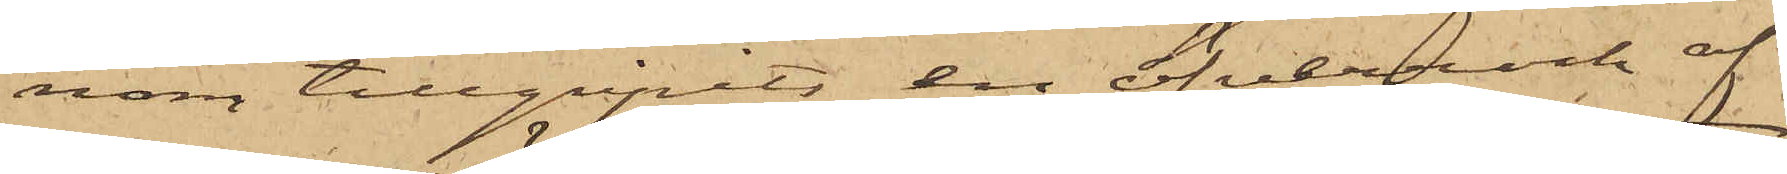nom tillgripits en öfverrock af
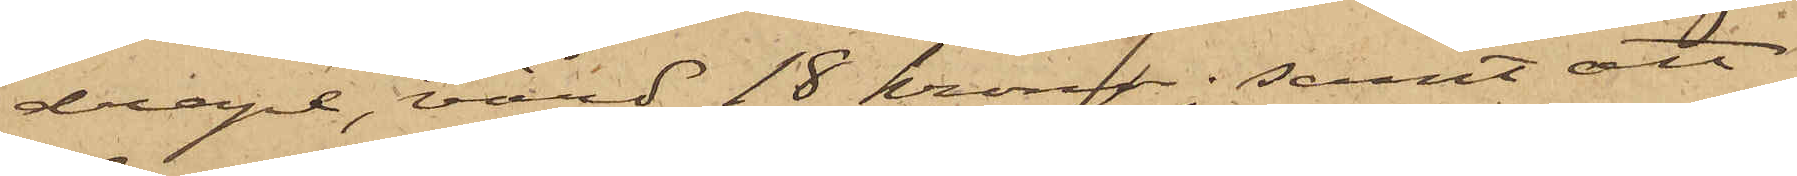drape, värd 18 kronor; samt att
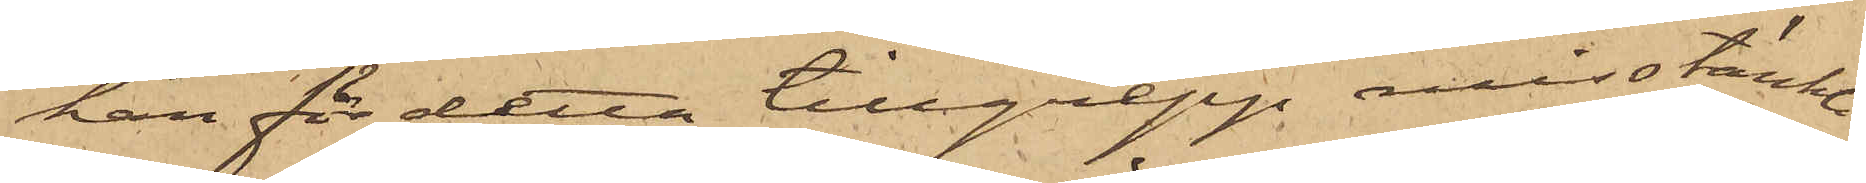han för detta tillgrepp misstänkte
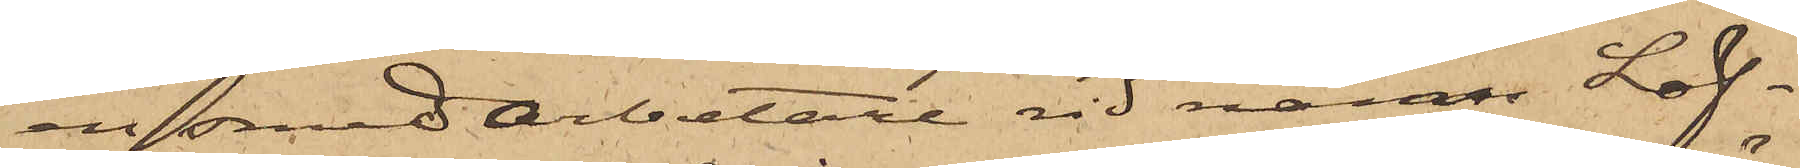en smedarbetare vid namn Löf¬
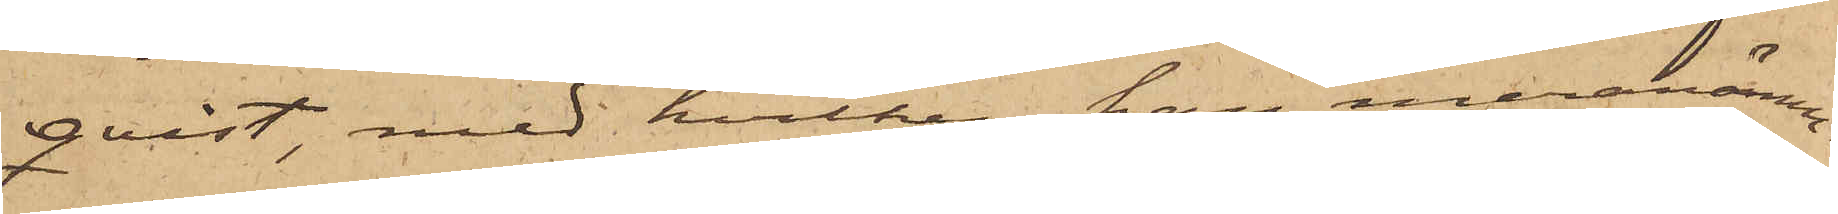qvist, med hvilken han meranämn¬
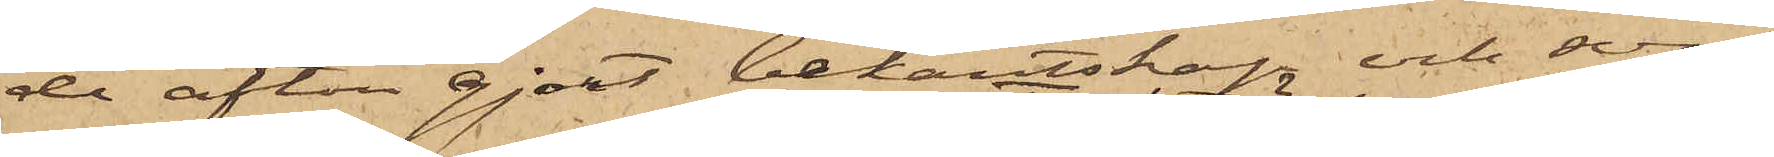de afton gjort bekantskap och som
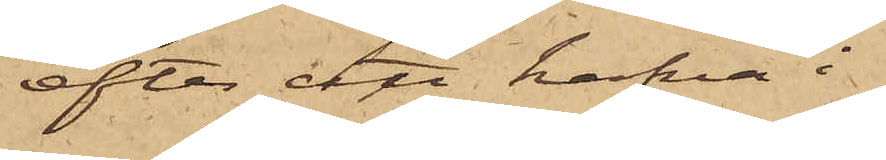efter att hafva i
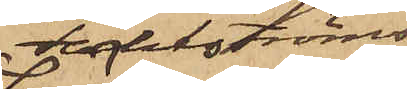Fahlströms
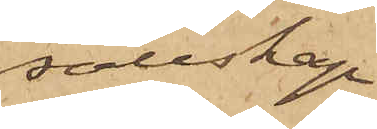sällskap
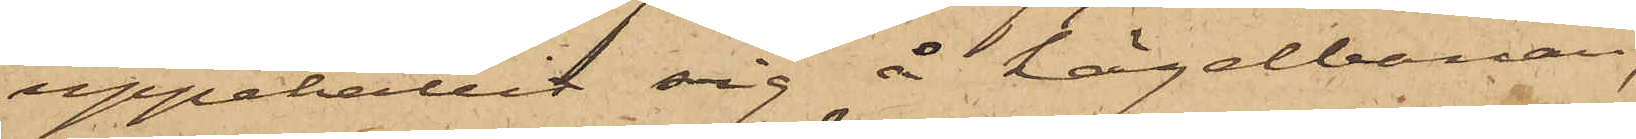uppehållit sig å kägelbanan,
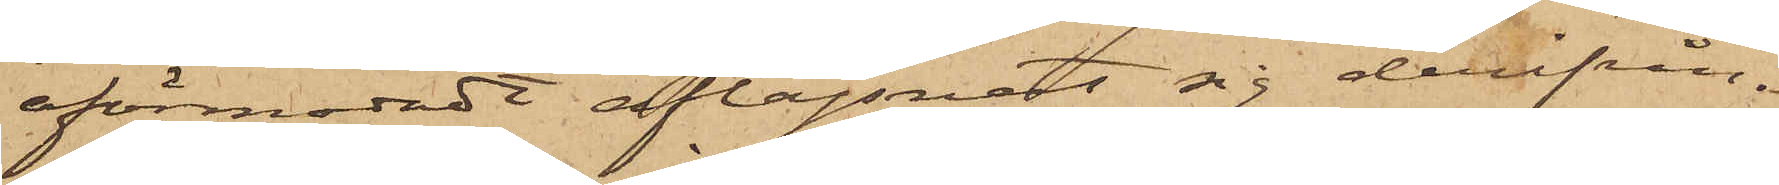oförmodadt aflägsnat sig derifrån.
